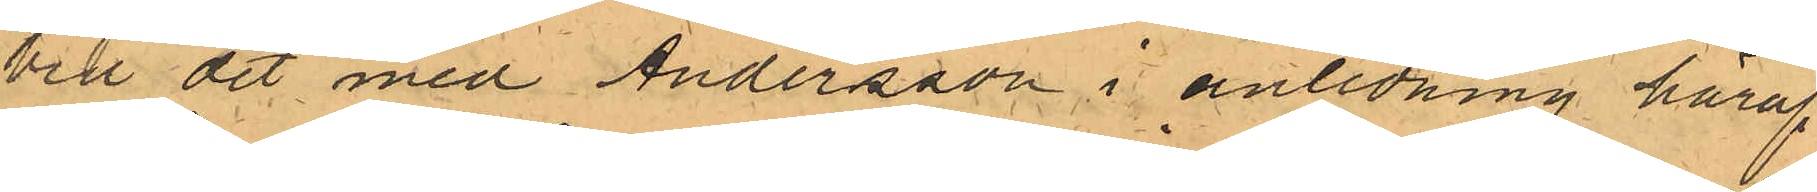Vid det med Andersson i anledning häraf
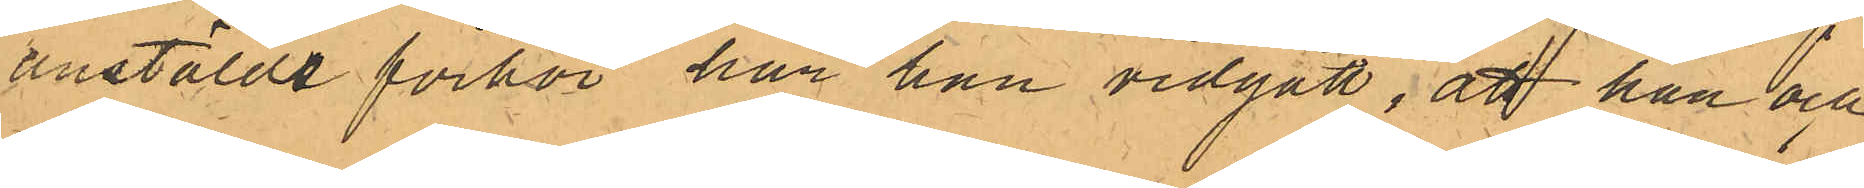anstälde förhör har han vidgått, att han och
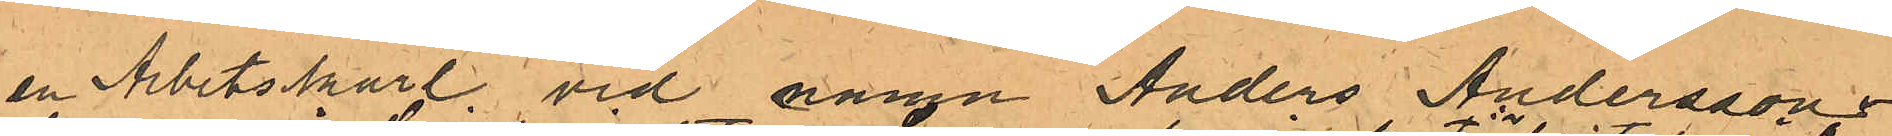en Arbetskarl vid namn Anders Andersson
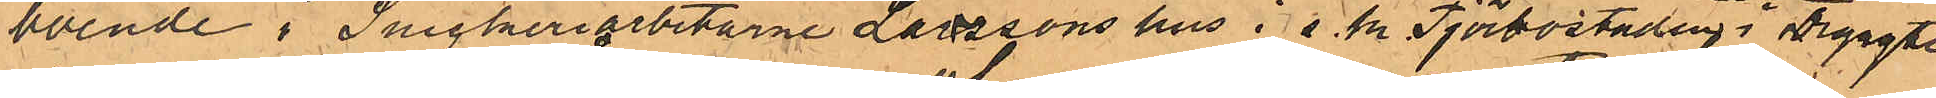boende i Snickeriarbetarne Larssons hus i s.k. Tjörbostaden i Örgryte
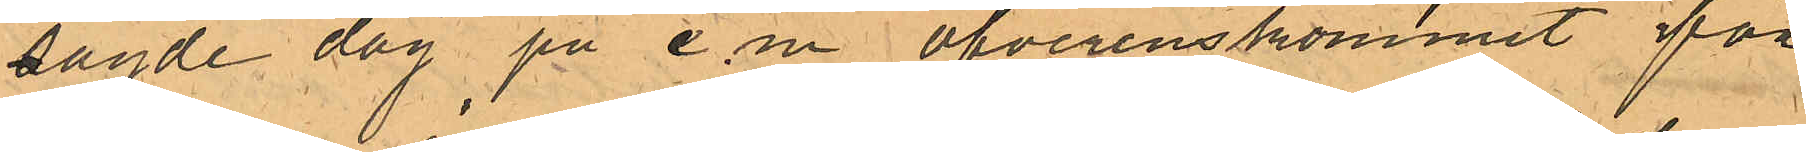sagde dag på e.m öfverenskommit för¬
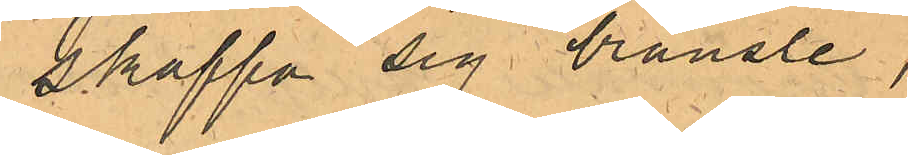skaffa sig bränsle
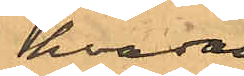hvadan
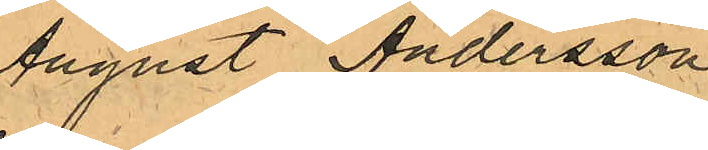August Andersson
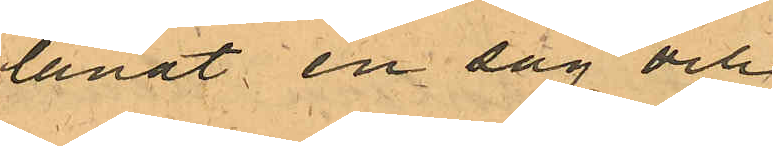lånat en såg och
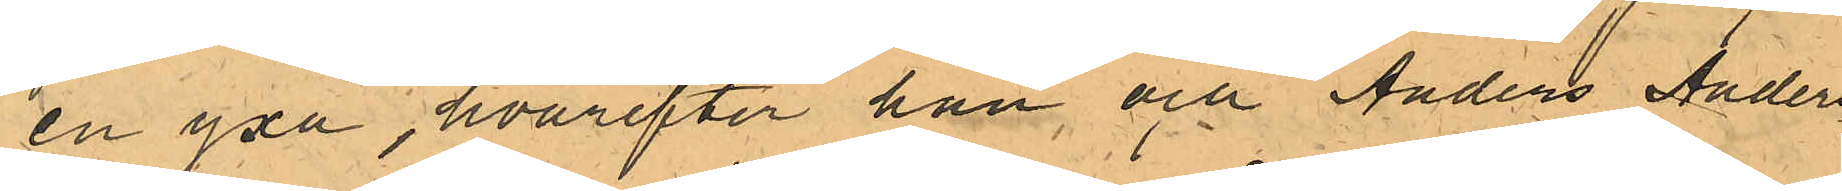en yxa, hvarefter han och Anders Anders¬
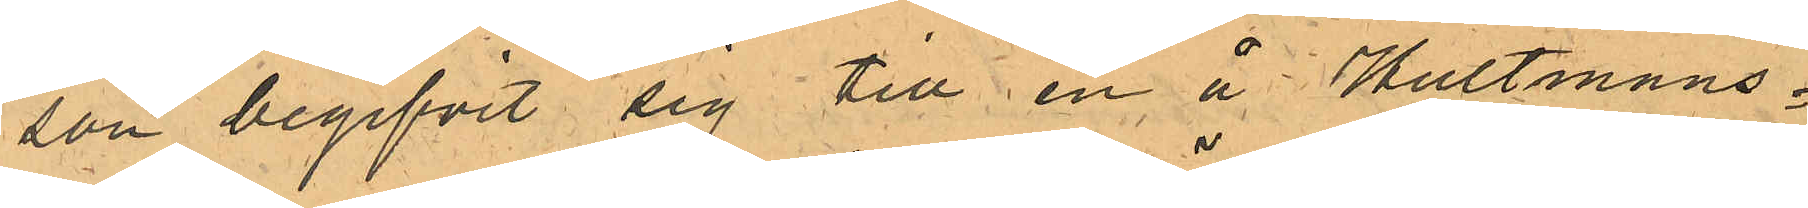son begifvit sig till en å Hultmans¬
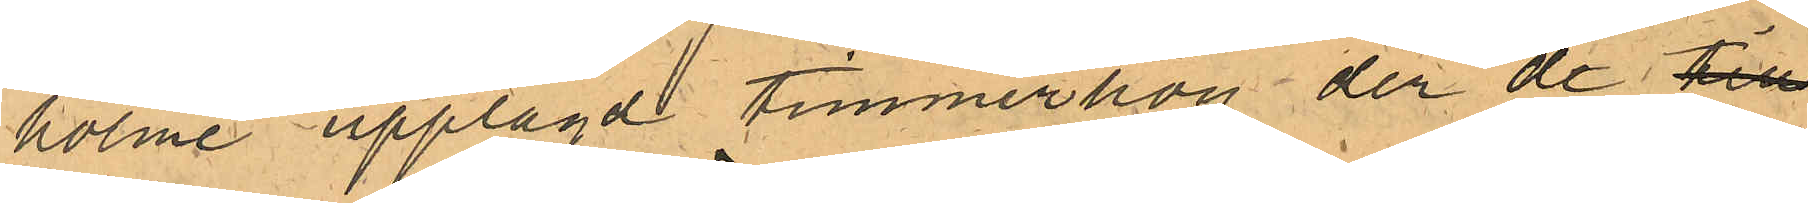holme upplagd timmerhög der de till¬
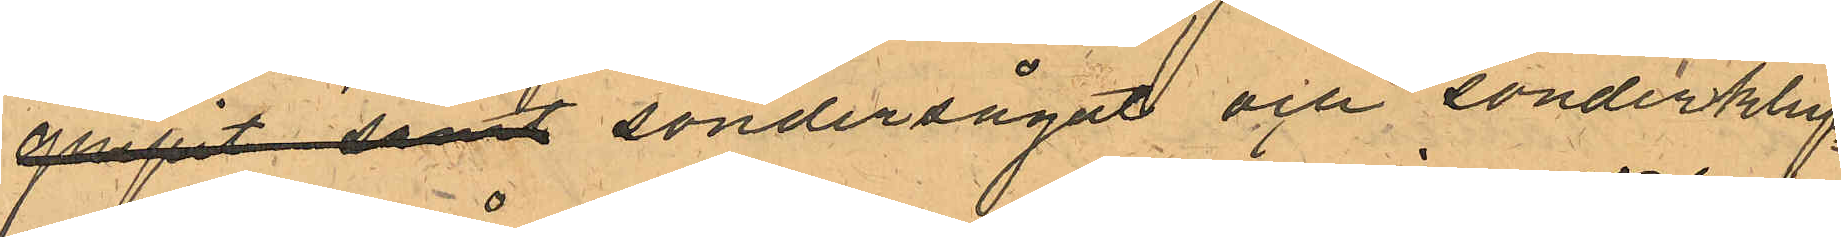gripit samt söndersågat och sönderkluf¬
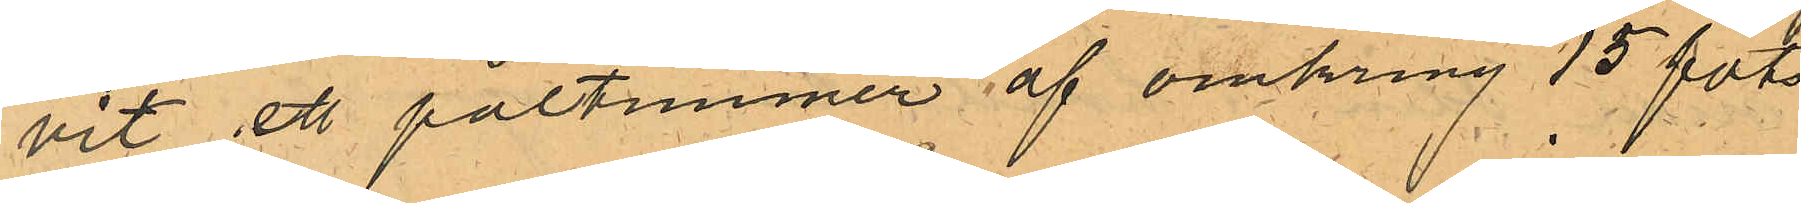vit ett påltimmer af omkring 15 fots
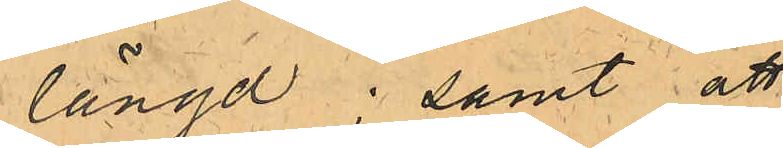längd; samt att
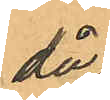då
